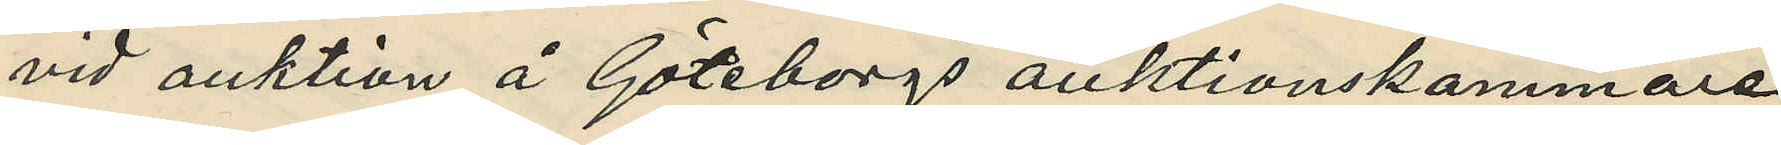vid auktion å Göteborgs auktionskammare
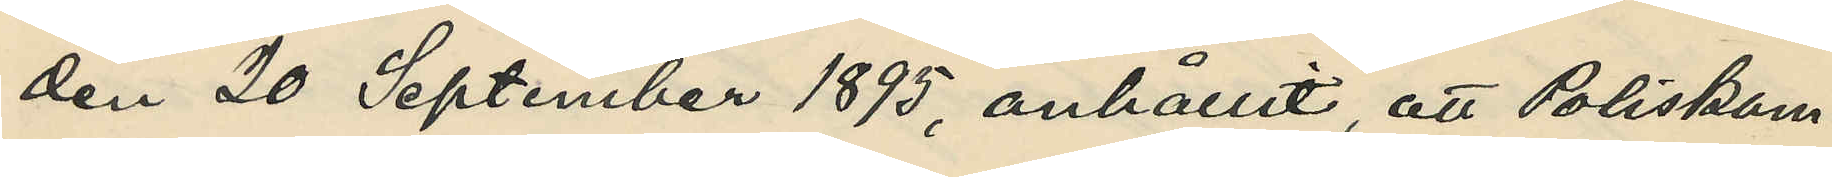den 20 September 1895, anhållit, att Poliskam¬
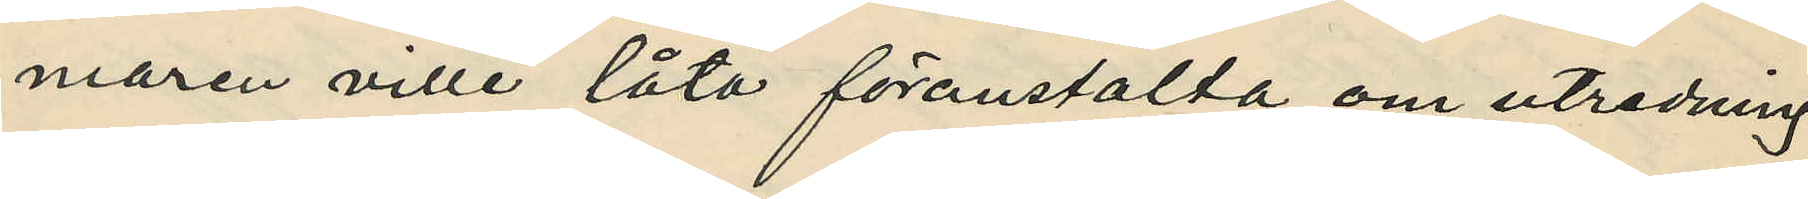maren ville låta föranstälta om utredning
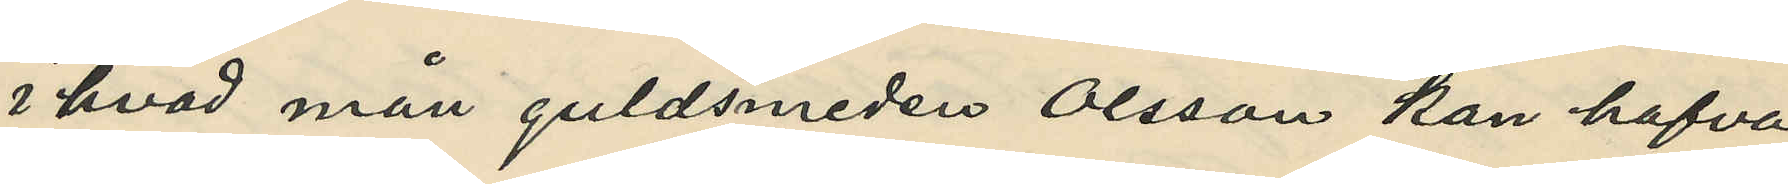i hvad mån guldsmeden Olsson kan hafva
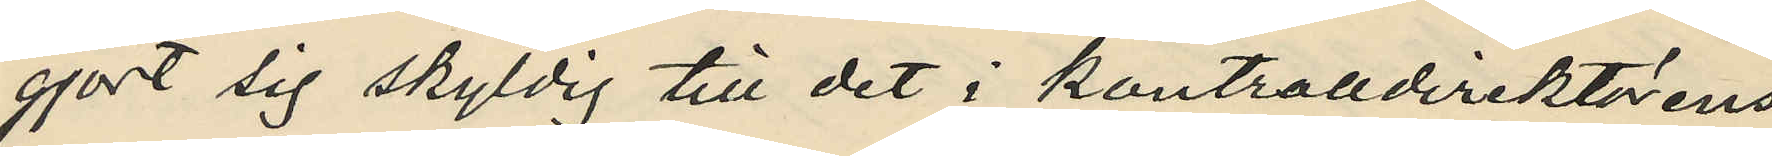gjort sig skyldig till det i kontrolldirektörens
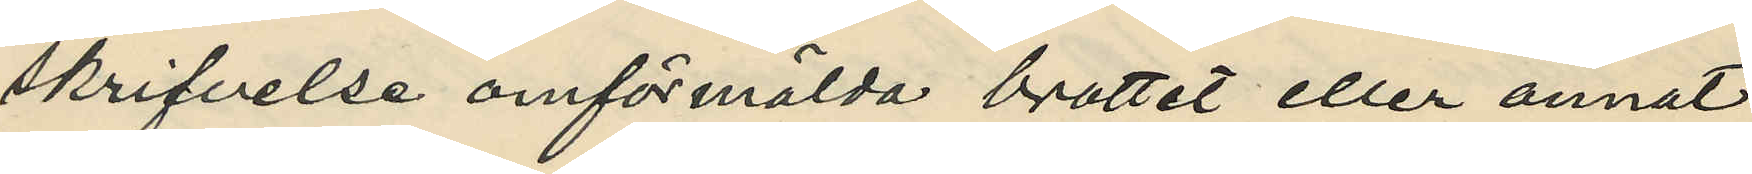skrifvelse omförmälda brottet eller annat
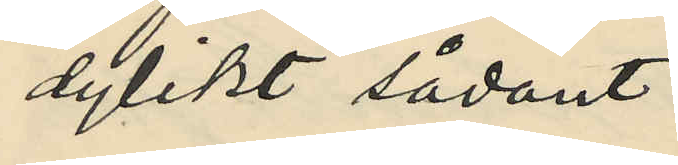dylikt sådant.
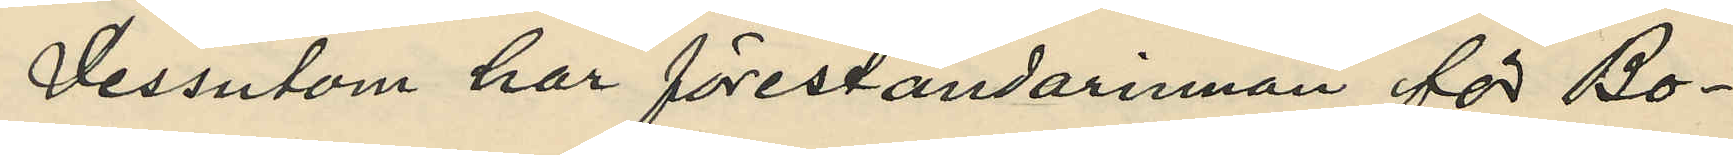Dessutom har föreståndarinnan för Bo¬
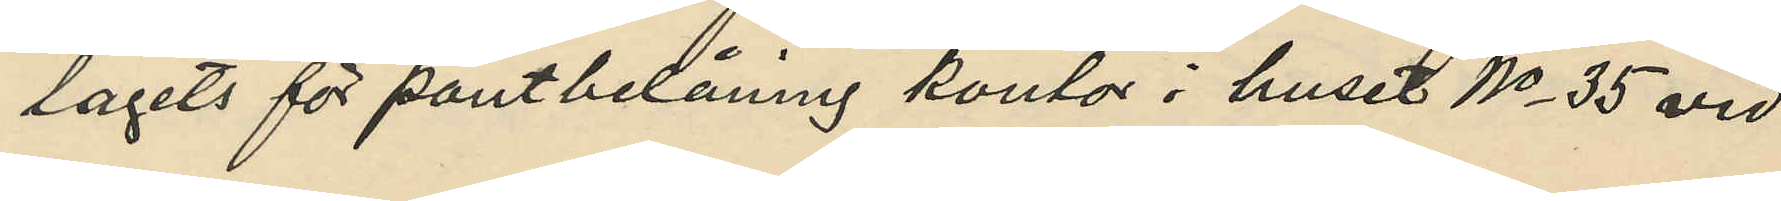lagets för pantbelåning kontor i huset No 35 vid
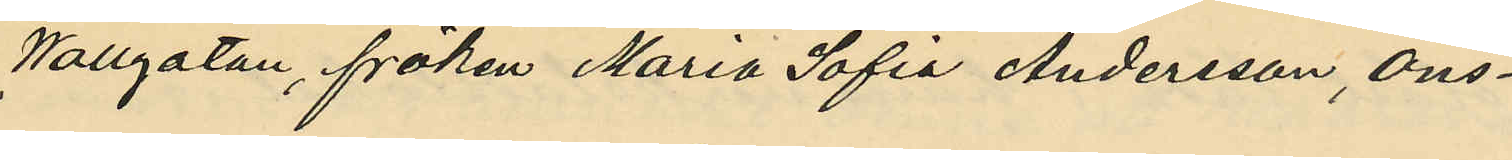Wallgatan, fröken Maria Sofia Andersson, ons¬
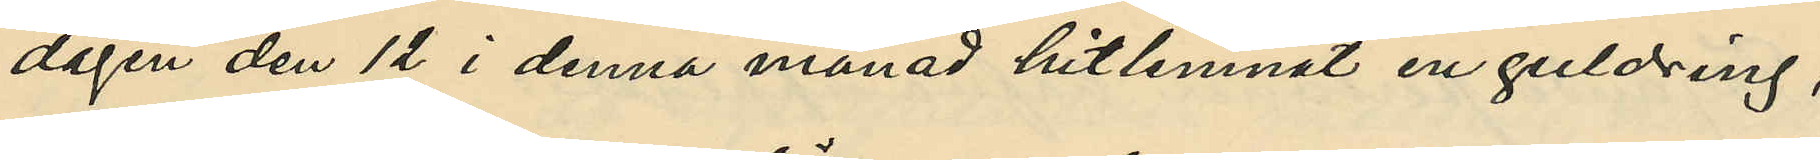dagen den 12 i denna månad hitlemnat en guldring,
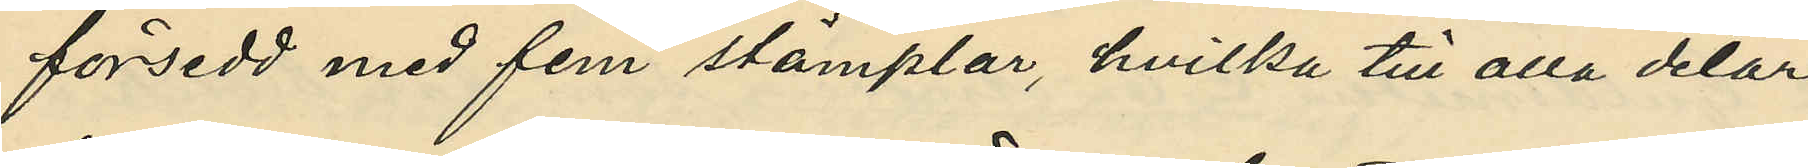försedd med fem stämplar, hvilka till alla delar
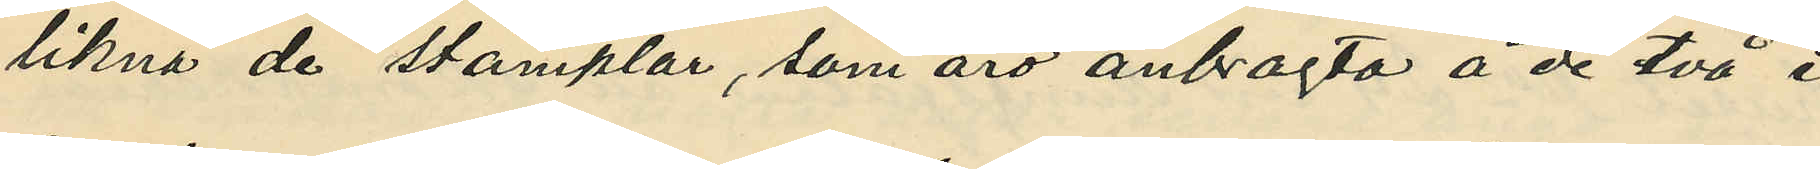likna de stämplar, som äro anbragta å de två i
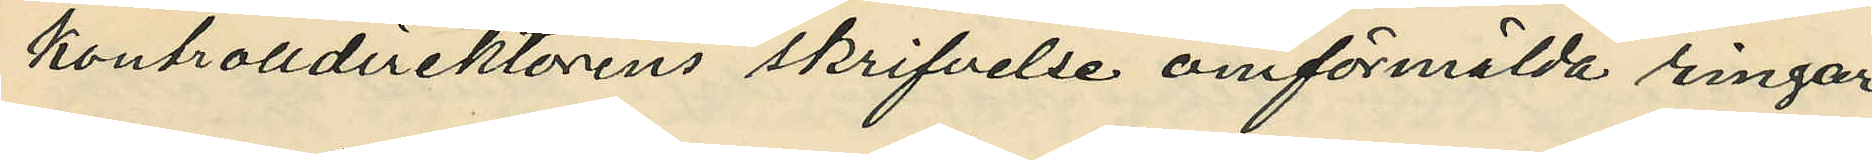kontrolldirektörens skrifvelse omförmälda ringar¬
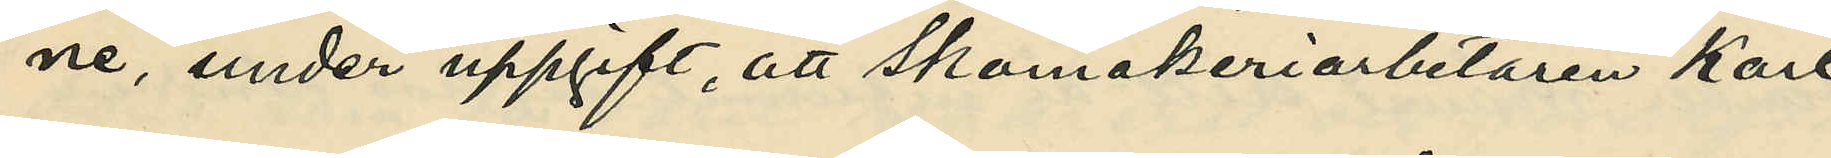ne, under uppgift, att Skomakeriarbetaren Karl
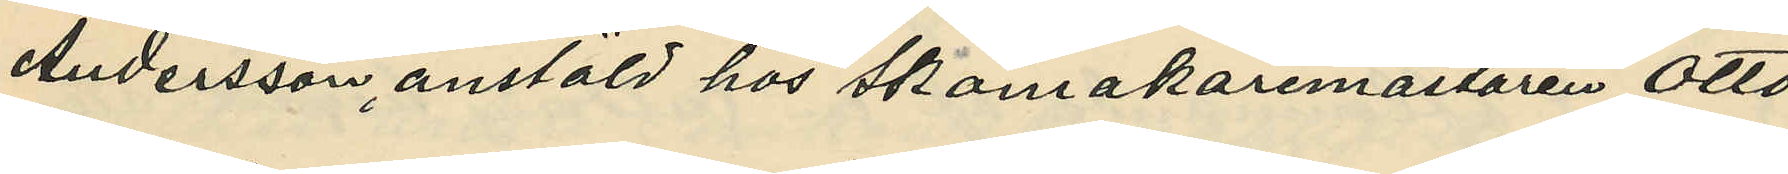Andersson anstäld hos Skomakaremästaren Otto
